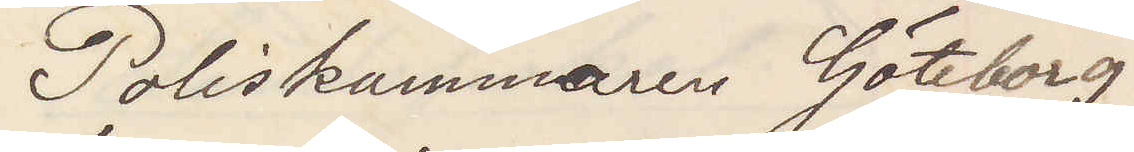Poliskammaren Göteborg
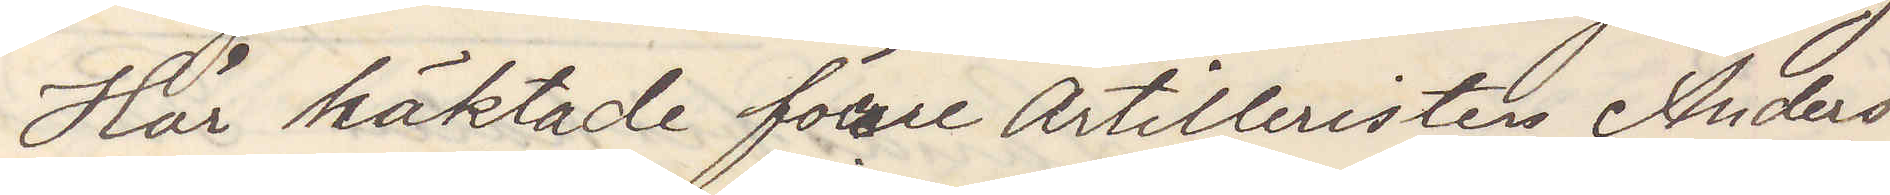Här häktade förre artilleristen Anders
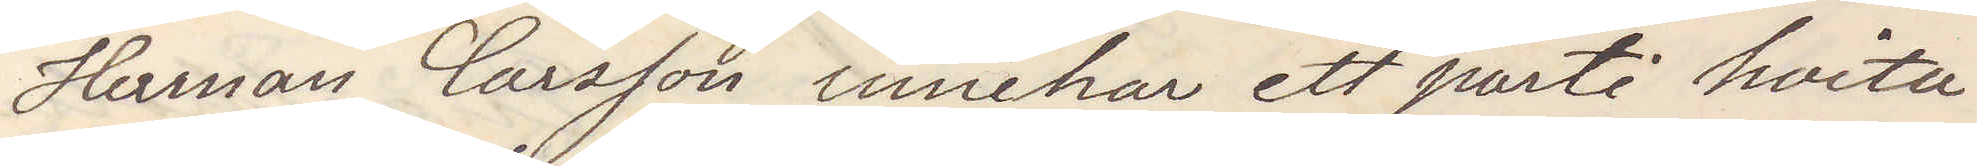Herman Carsson innehar ett parti hvita
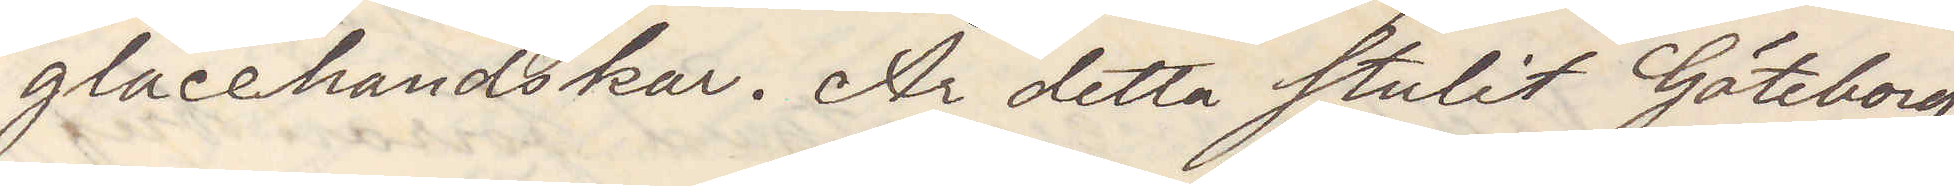glacehandskar. Är detta stulit Göteborg
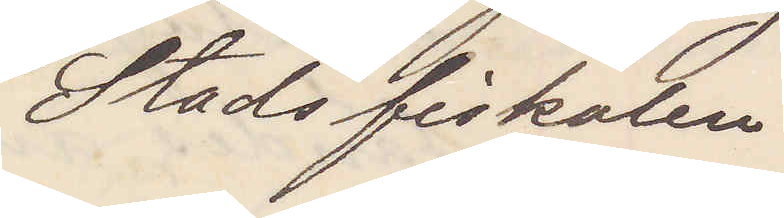Stadsfiskalen
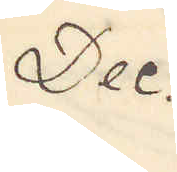Dec
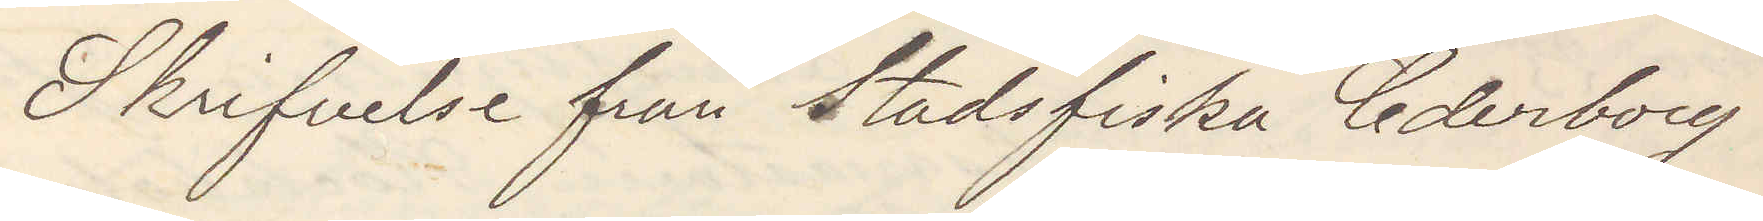Skrifvelse från Stadsfiska Cederborg
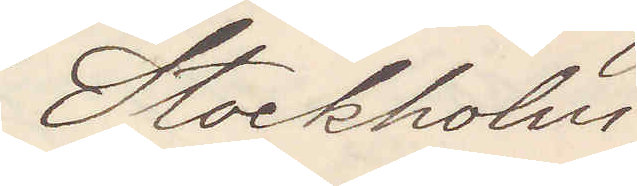Stockholm
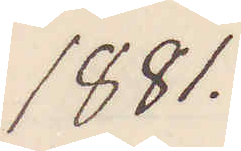1881.
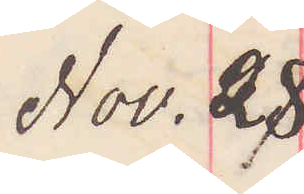Nov. 28
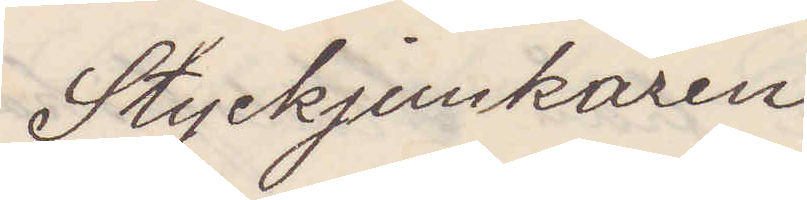Styckjunkaren
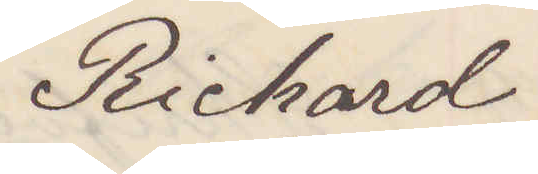Richard
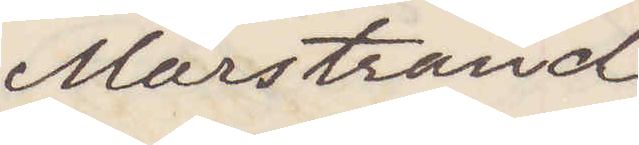Marstrand
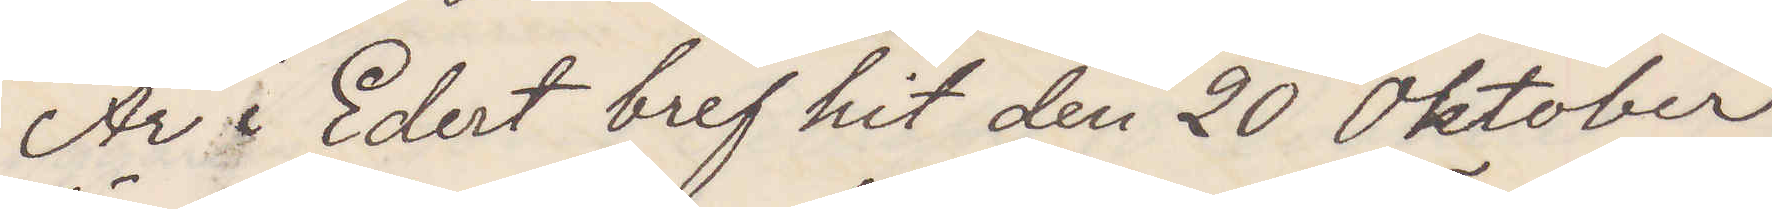Är i Edert bref hit den 20 Oktober
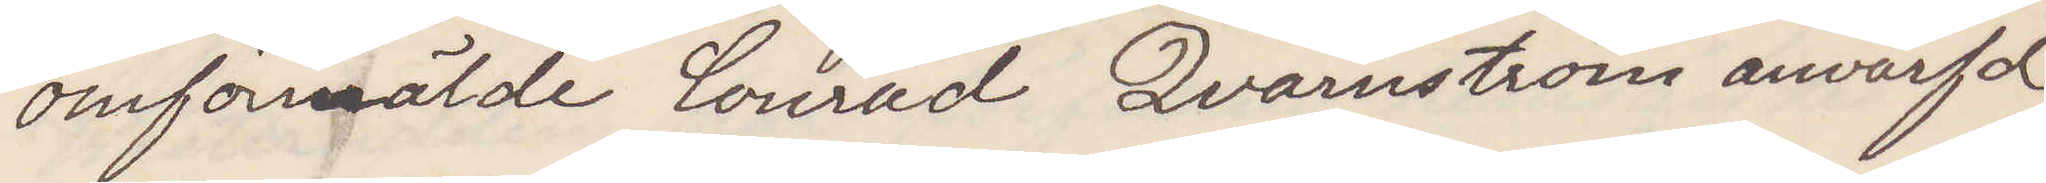omförmälde Conrad Qvarnström anvärfd
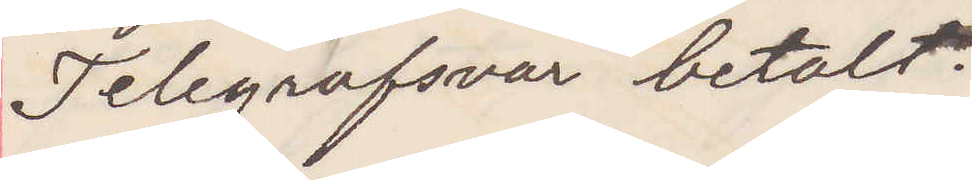Telegrafsvar betalt
